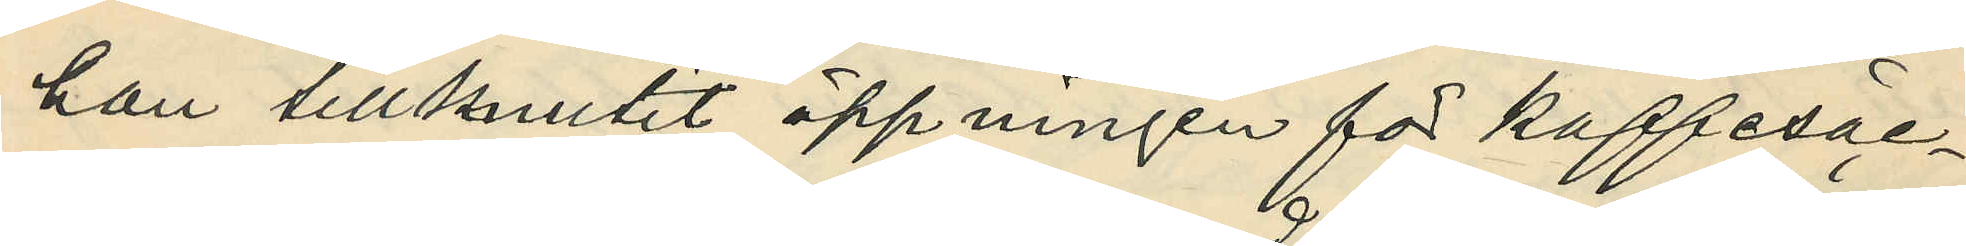han tillknutit öppningen för kaffesäc¬
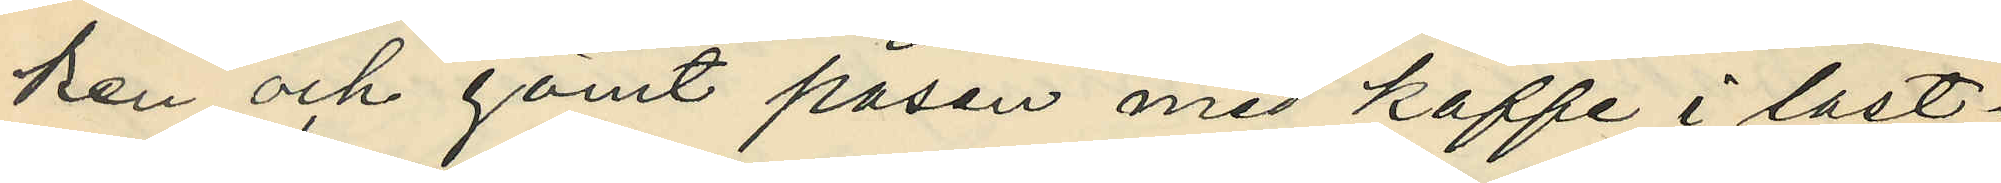ken och gömt påsen med kaffe i last¬
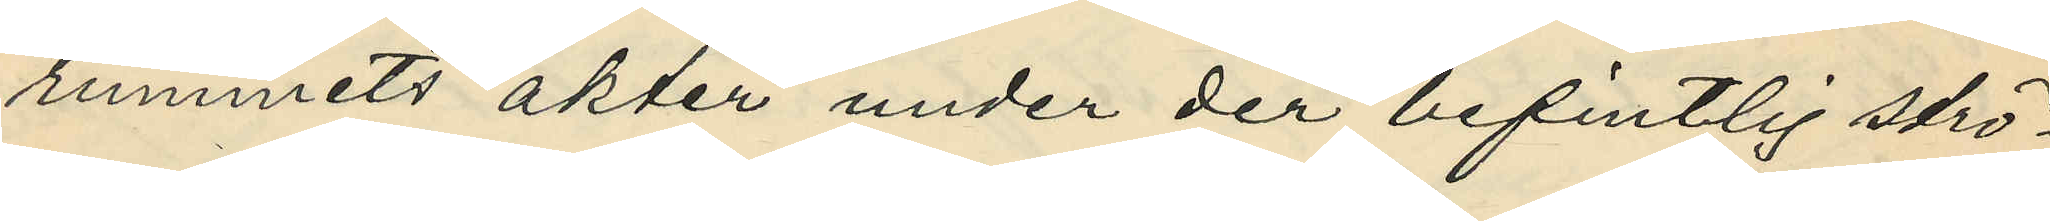rummets akter under der befintlig strö¬
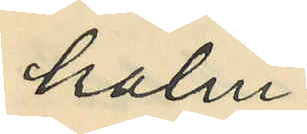halm;
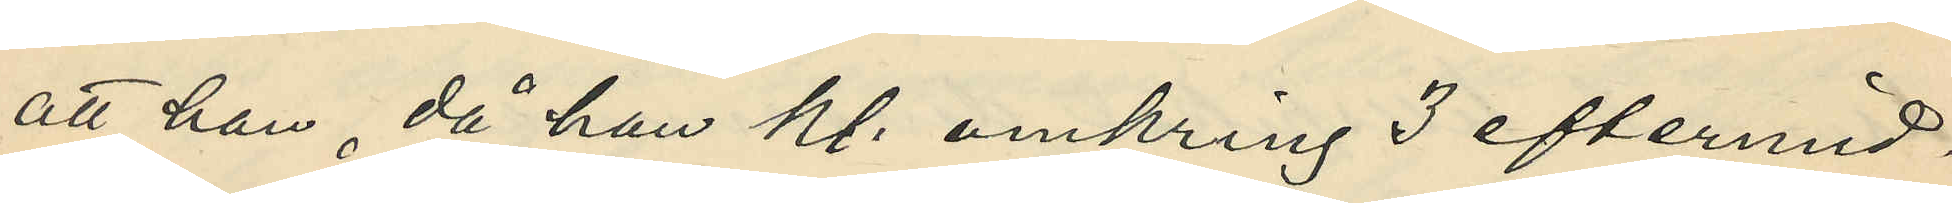att han, då han kl. omkring 3 eftermid¬
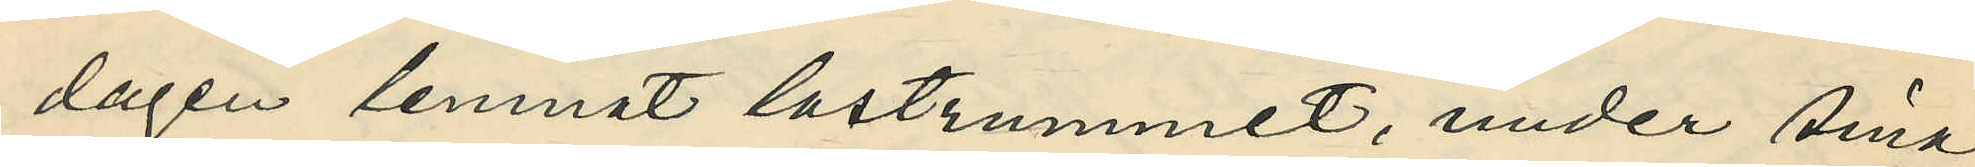dagen lemnat lastrummet, under sina
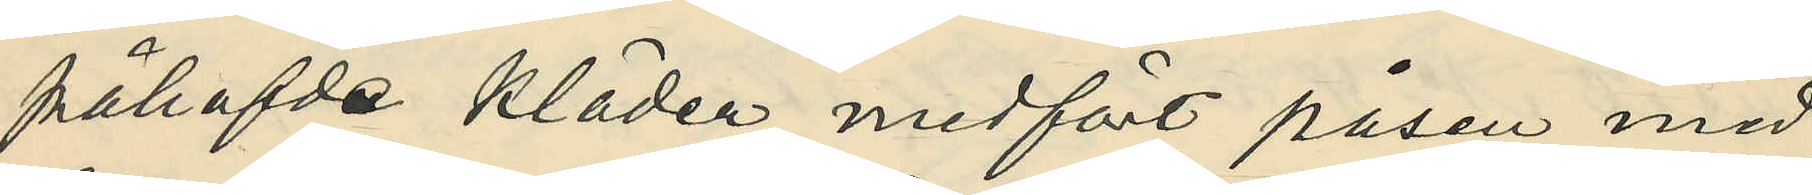påhafde kläder medfört påsen med
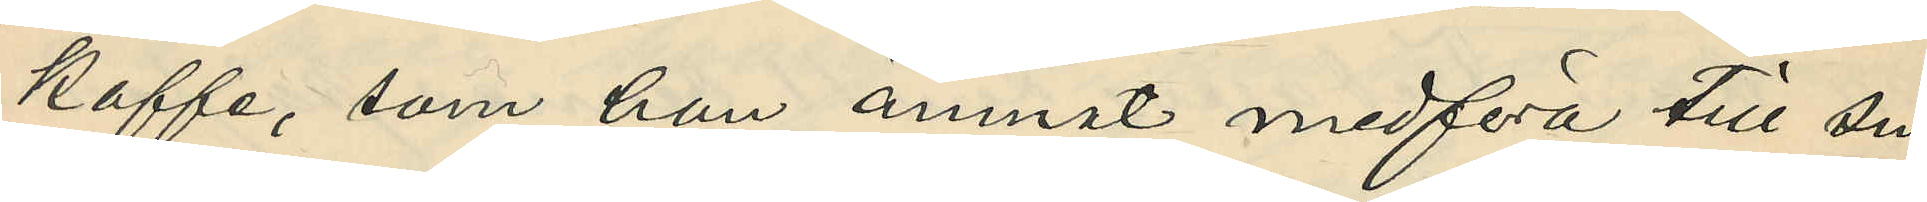kaffe, som han ämnat medföra till sin
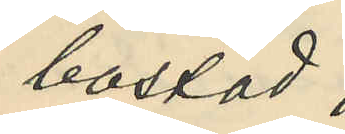bostad;
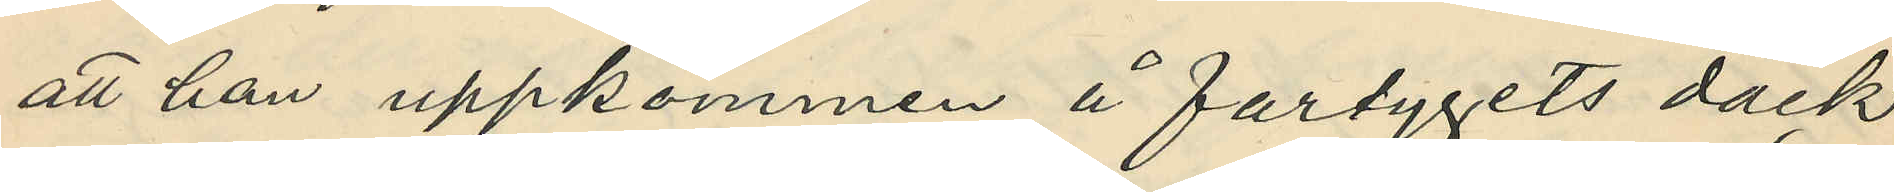att han uppkommen å fartygets däck
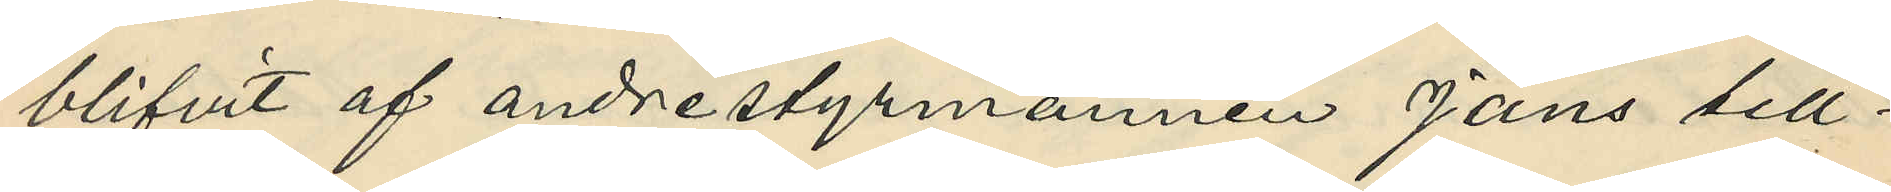blifvit af andrestyrmannen Jans till¬
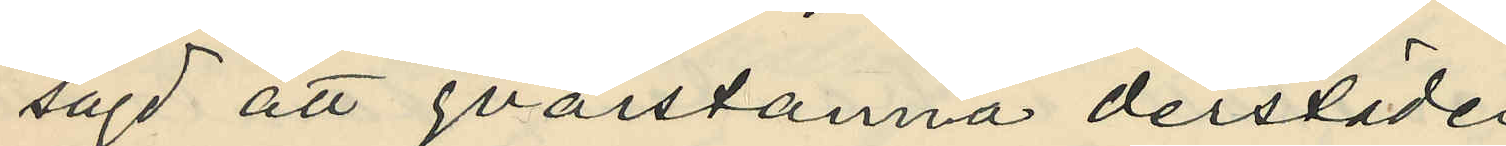sagd att qvarstanna derstädes;
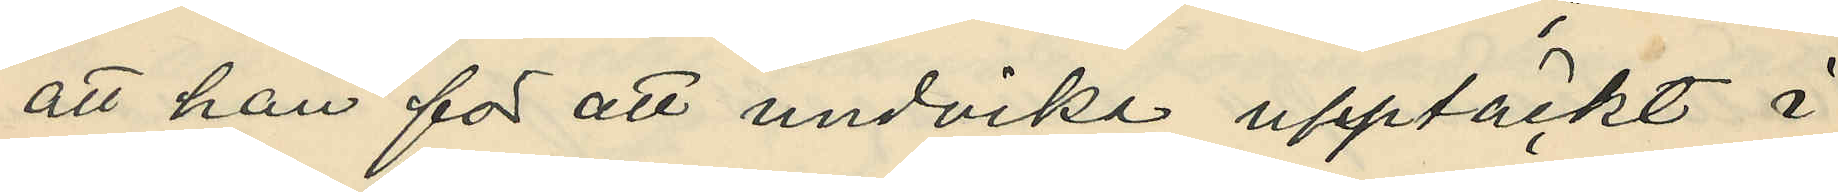att han för att undvika upptäckt i
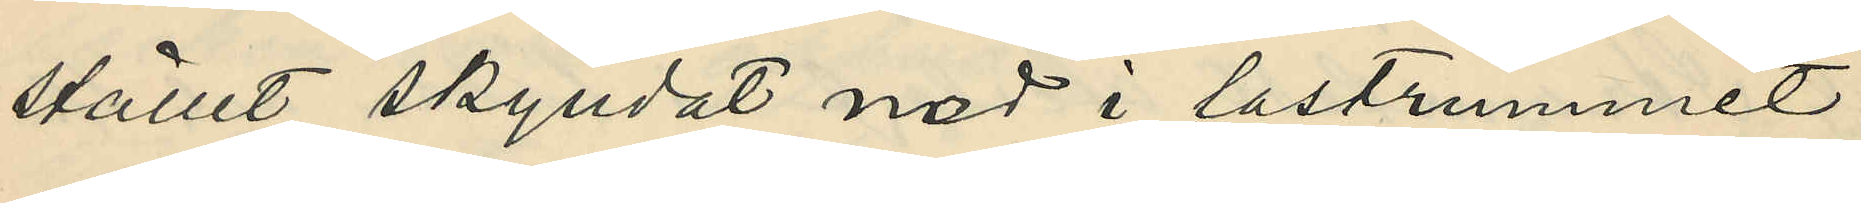stället skyndat ned i lastrummet
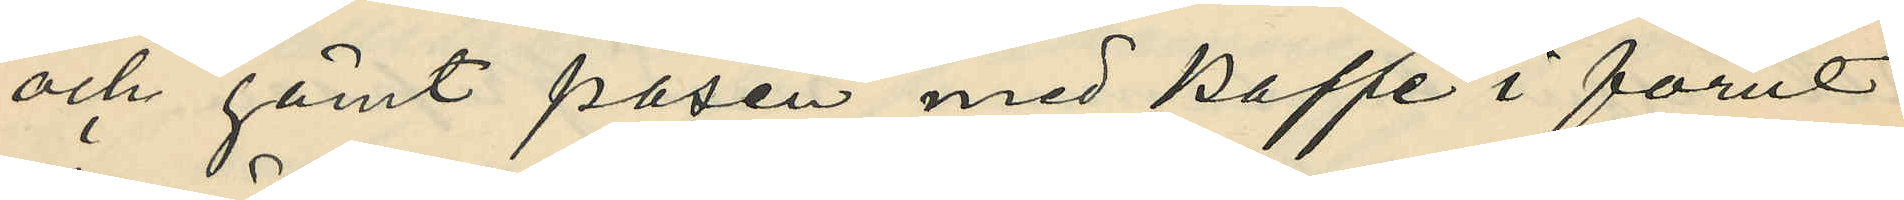och gömt påsen med kaffe i förut
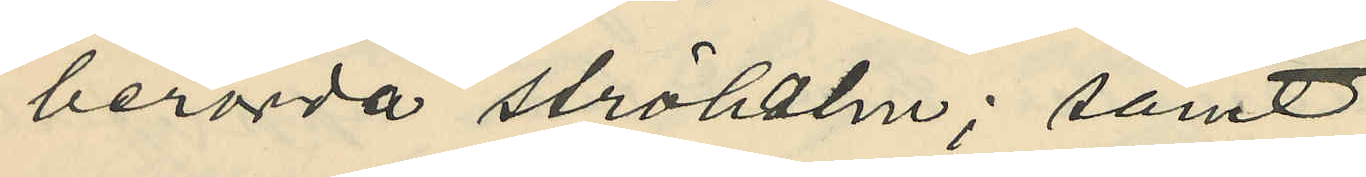berörda ströhalm; samt
